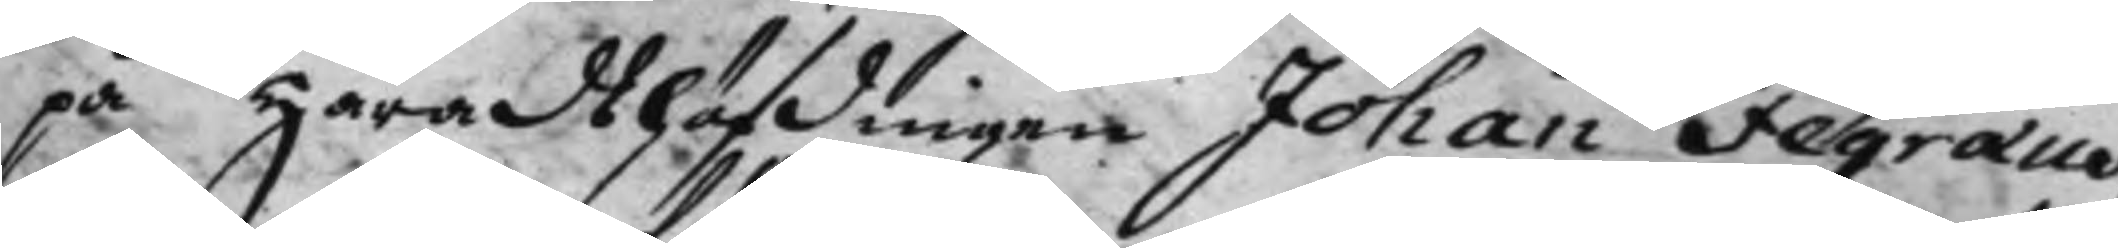på Häradshöfdingen Johan Fegræus,
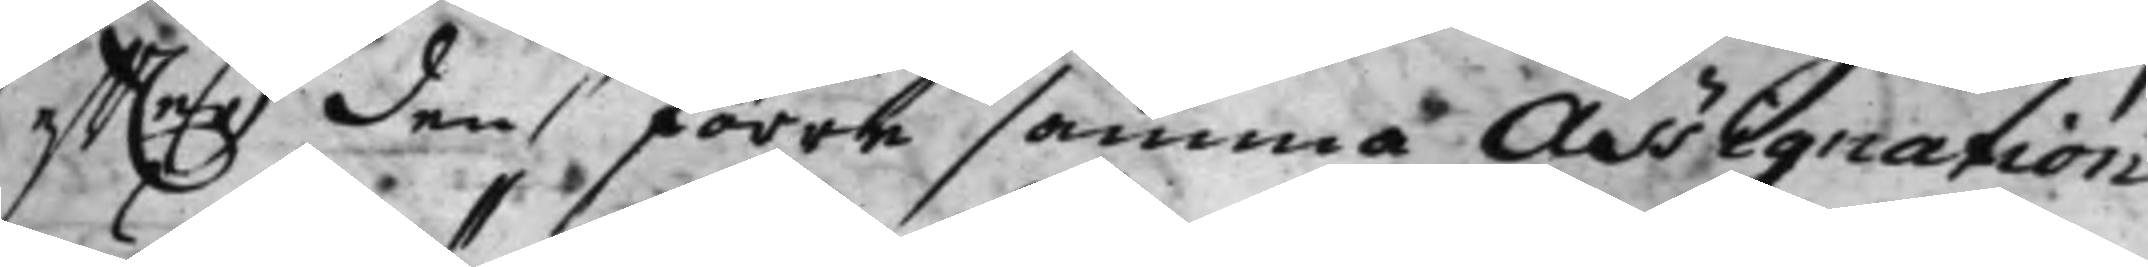effter den förre samma Assignation
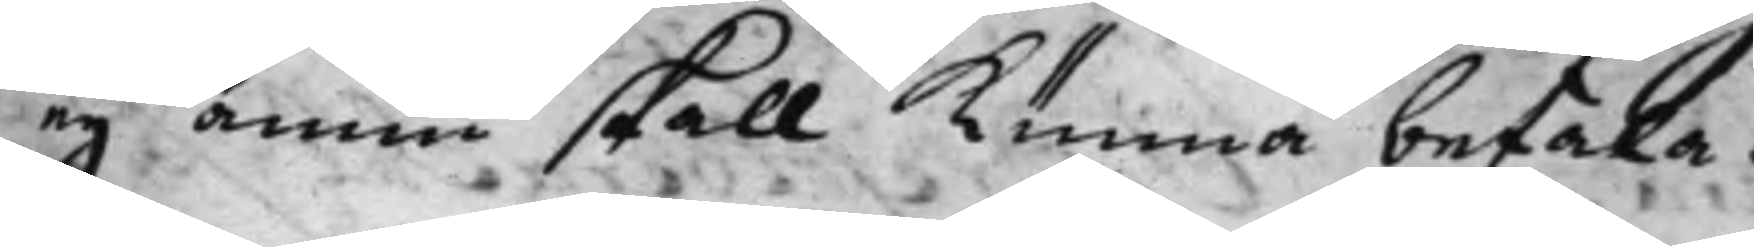eij ännu skall kunna betala.
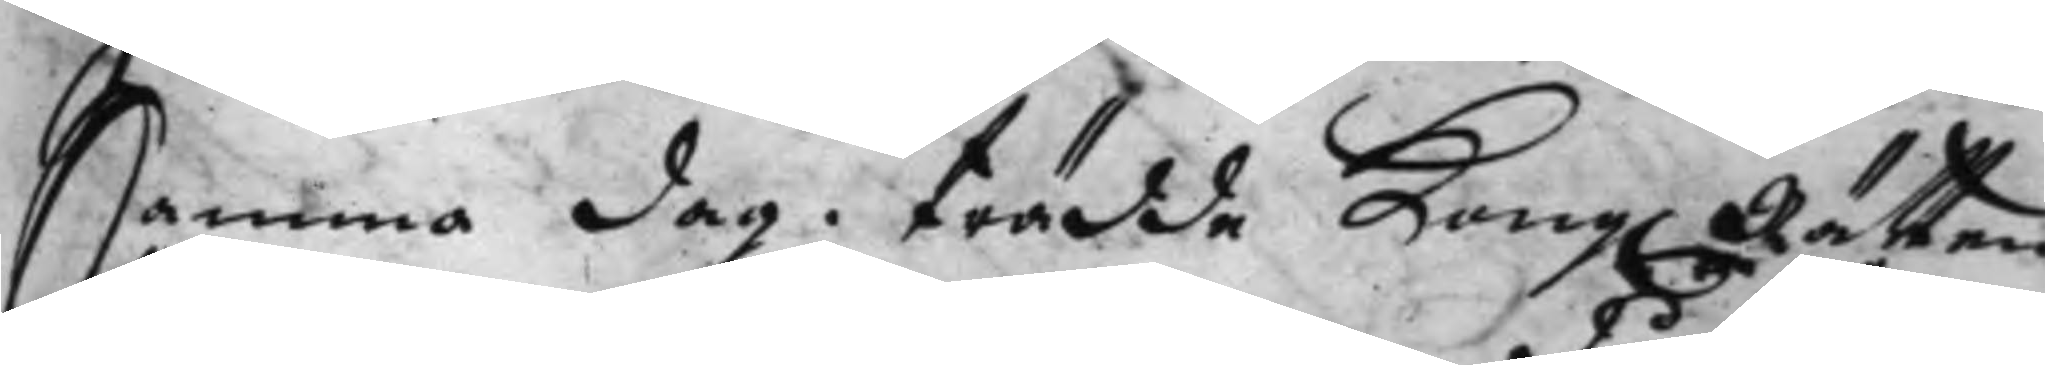Samma dag. trädde Kong. Rätten 
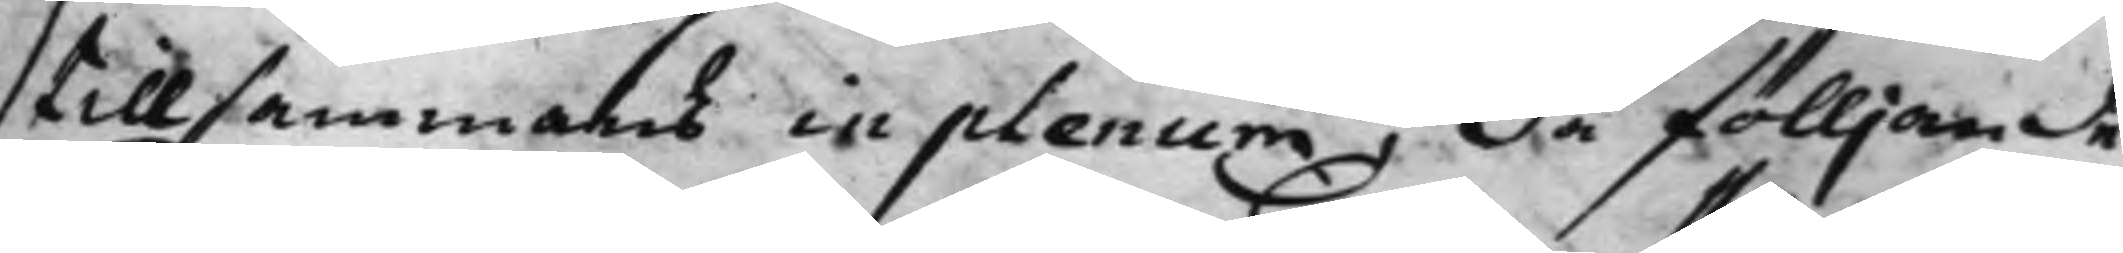tillsammans in plenum, då fölljande
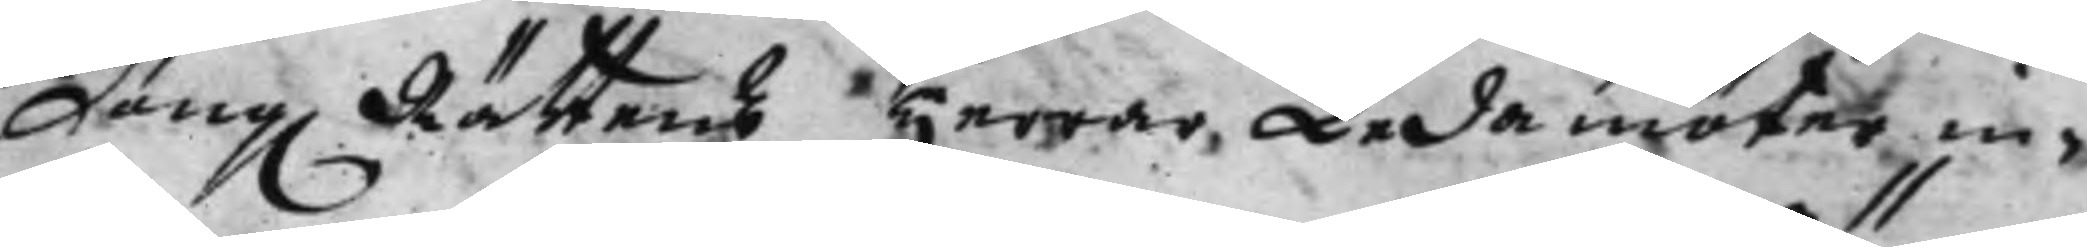Kong. Rättens Herrar Ladamöter in¬ 
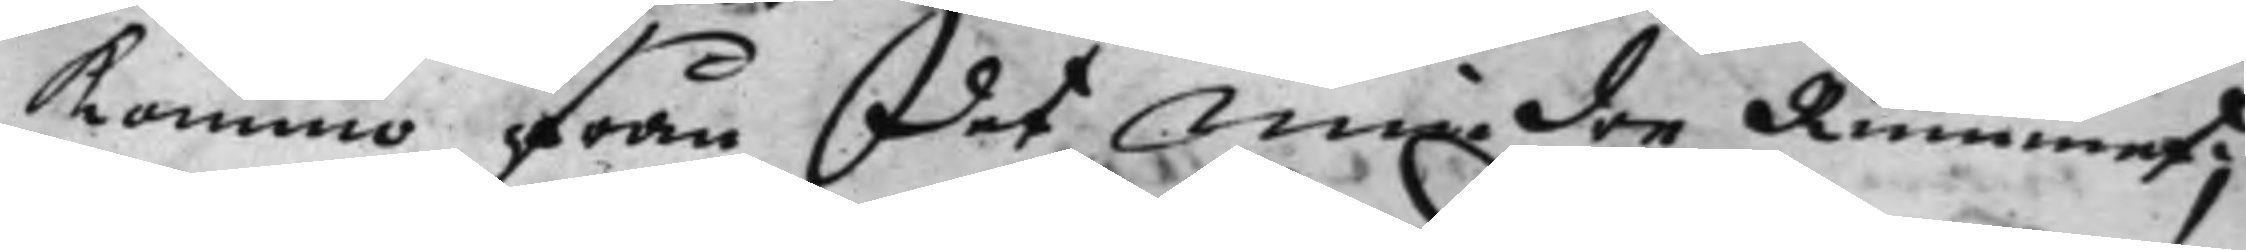kommo från det mindre Rummet;
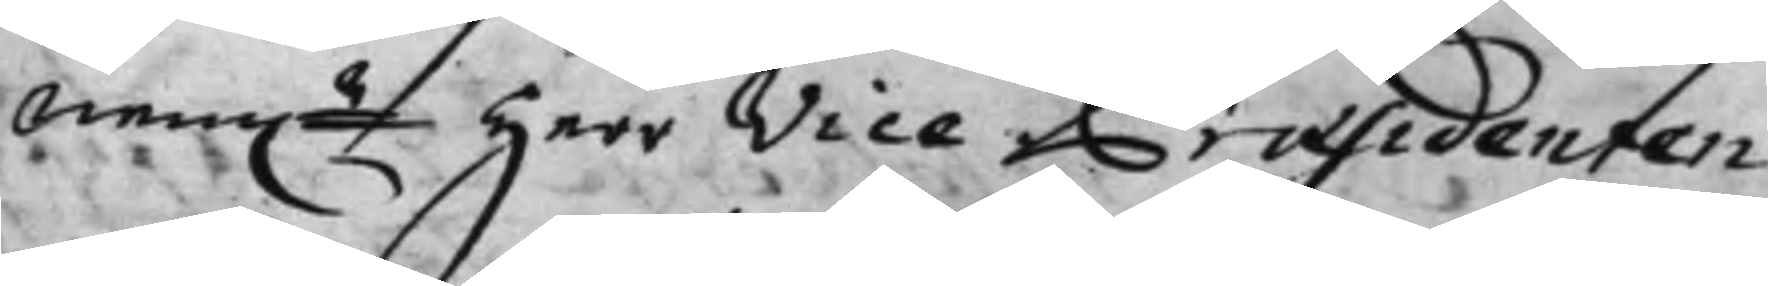nem.n Herr Vice Præsidenten 
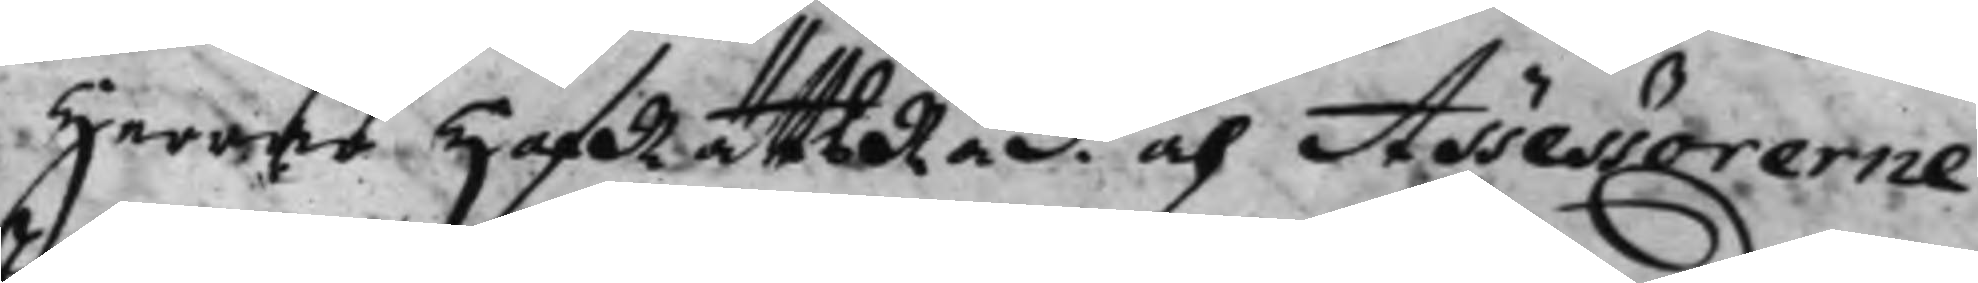Herrar HofRättsRåd. och Assessorerne
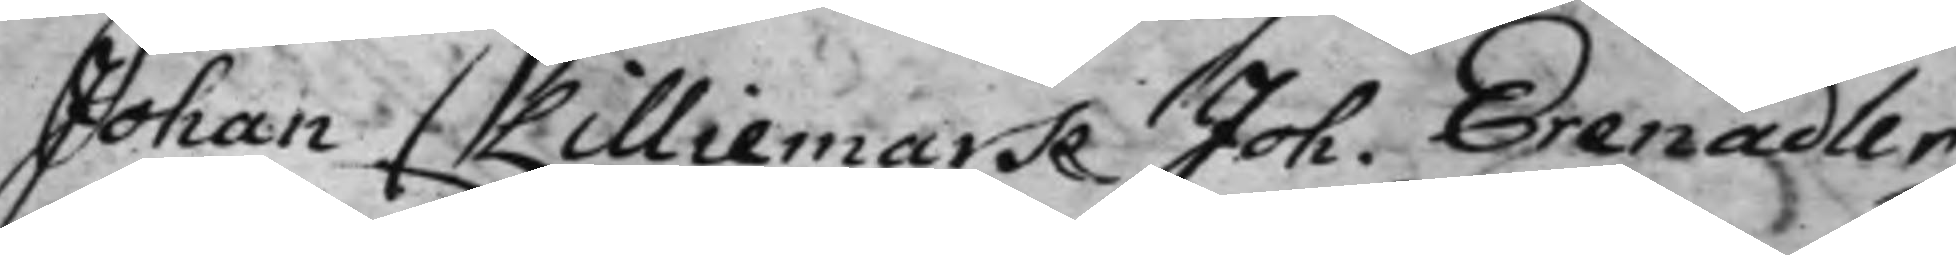Johan Lilliemark Joh. Erenadler
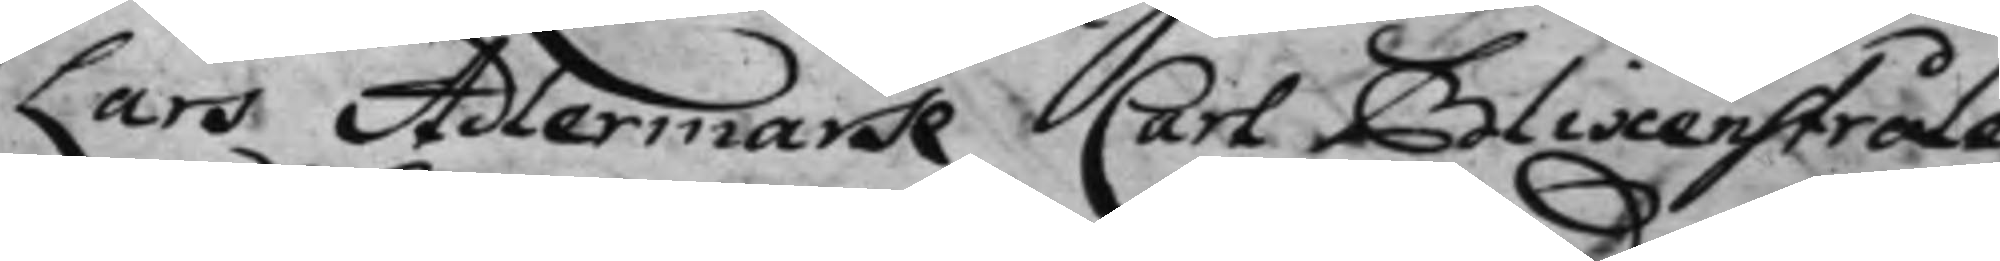Lars Adlermark Carl Blixenstråle
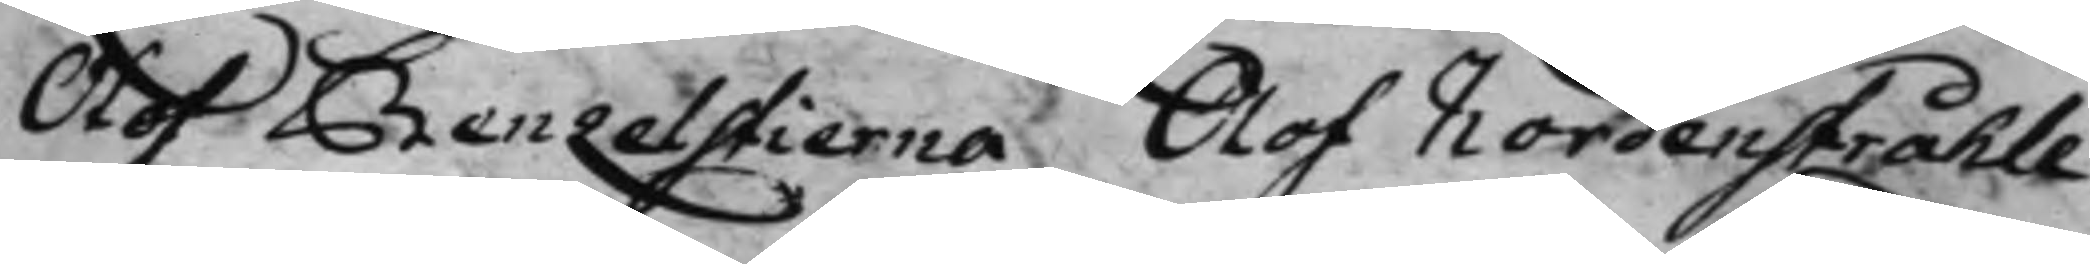Olof Benzelstierna Olof Nordenstråhle.
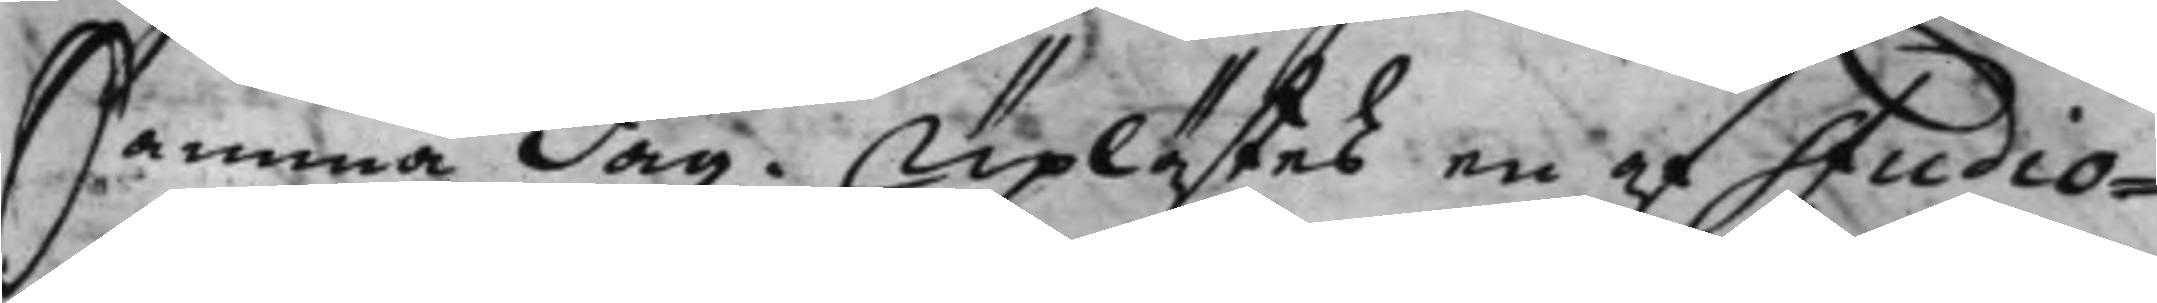Samma dag. Uplästes en af Studio¬
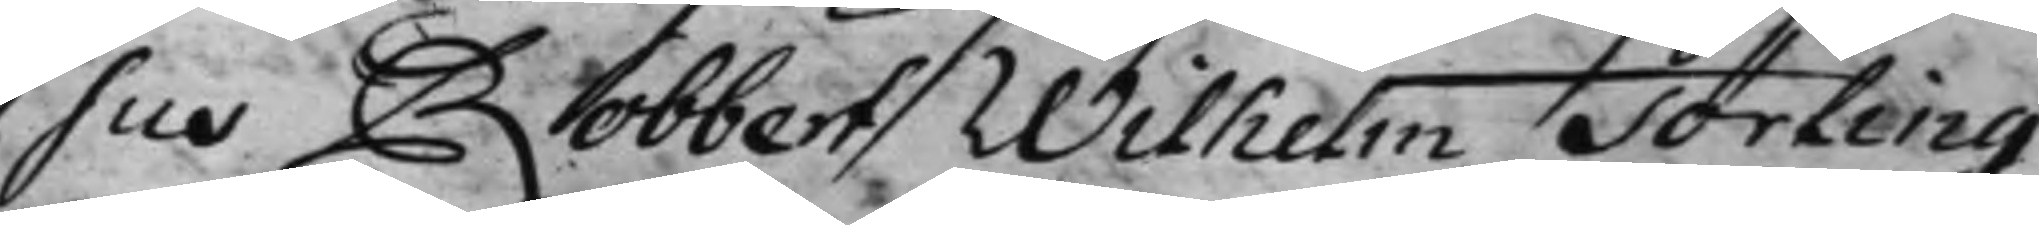. Sus  Robbert Wilhelm Törling
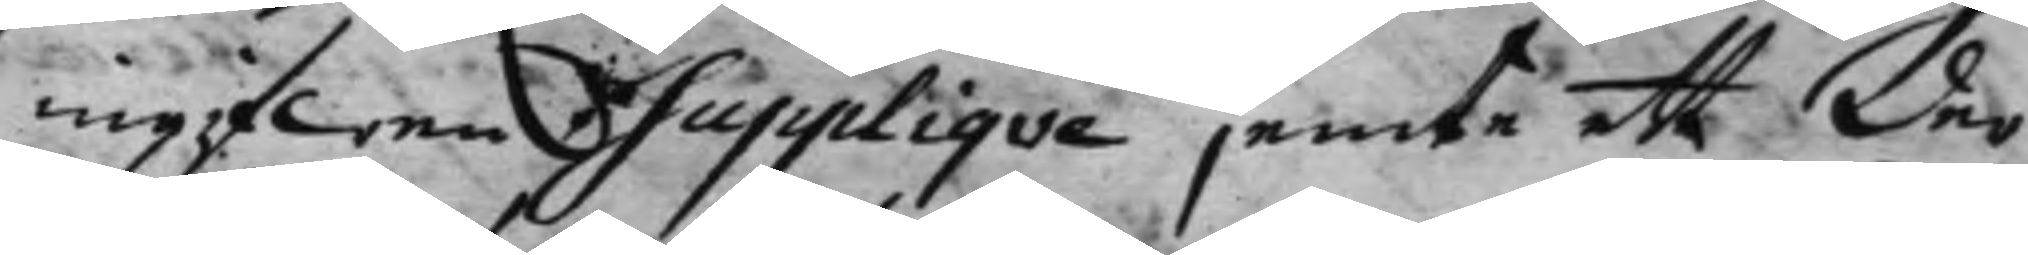ingifwen Supplique jemte ett der
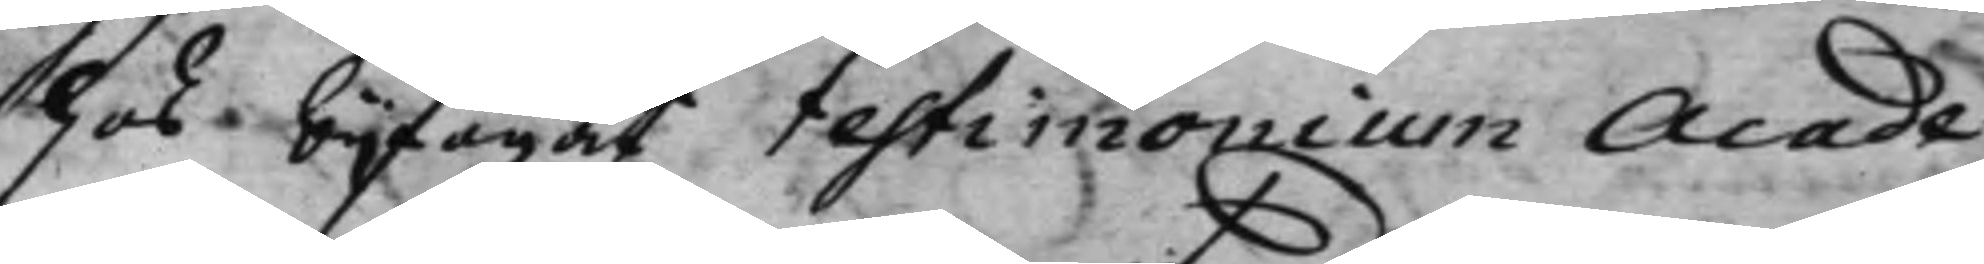hos bifogat testimonium Acade¬
